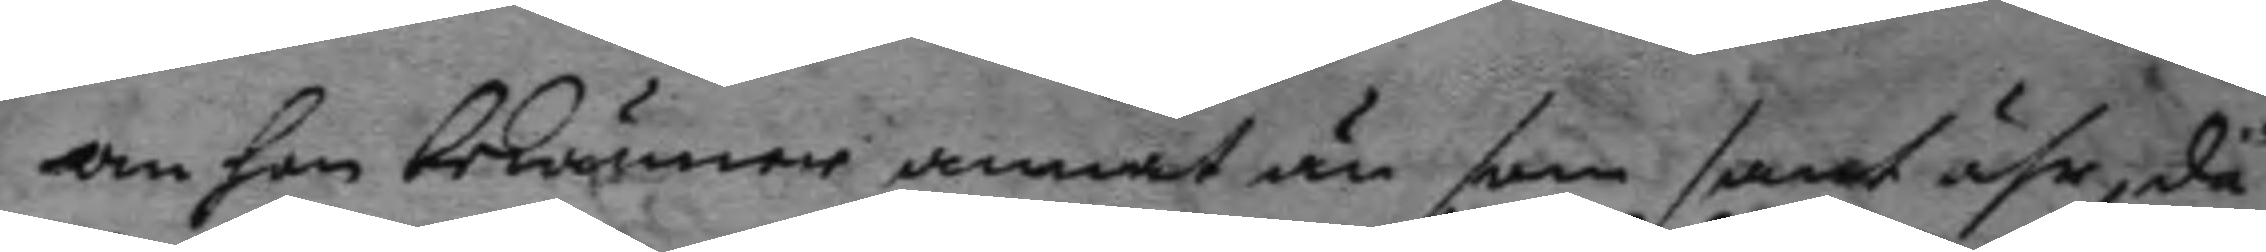om hon bekänner annat än som sant ähr, då
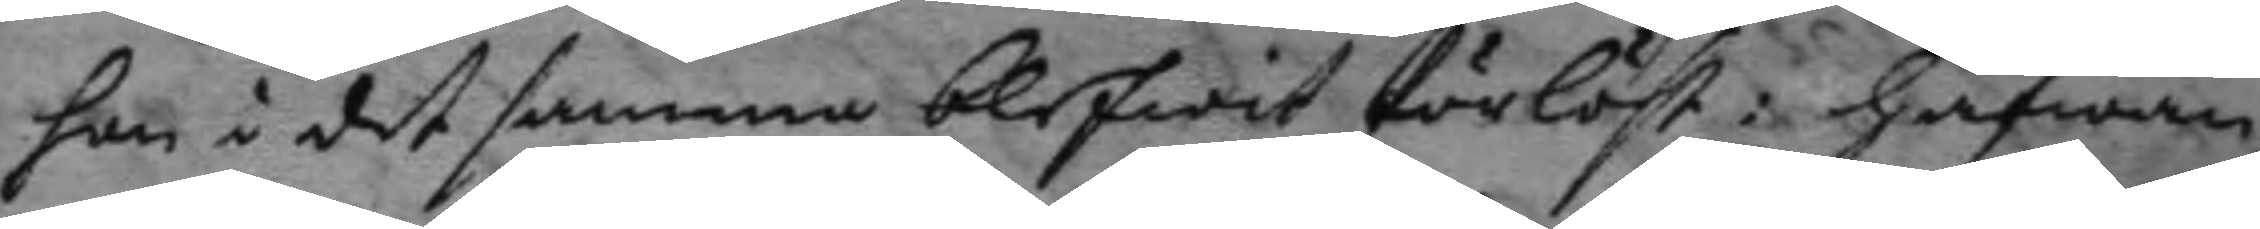hon i det samma blifwit förlöst: hafwan¬
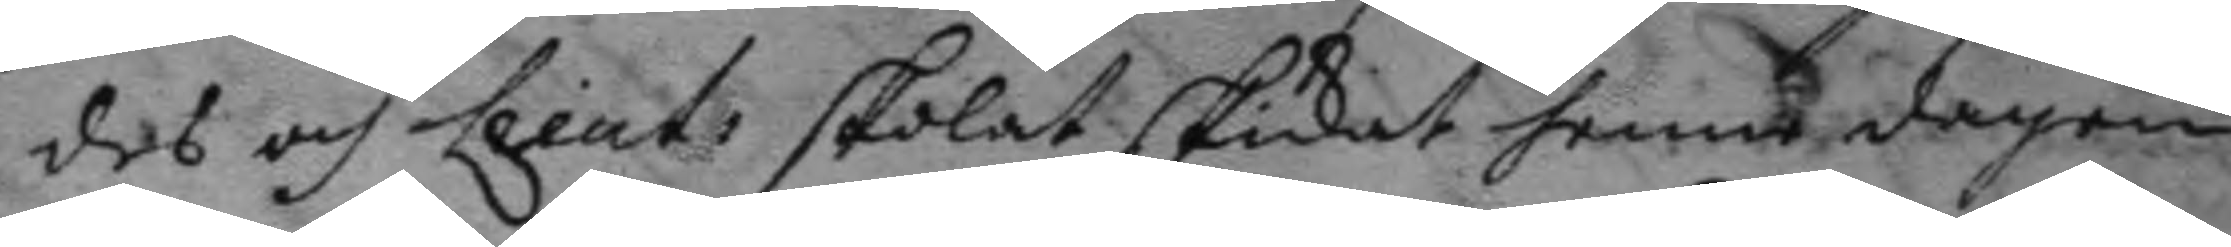des och Lieut: skolat skickat henne dagen
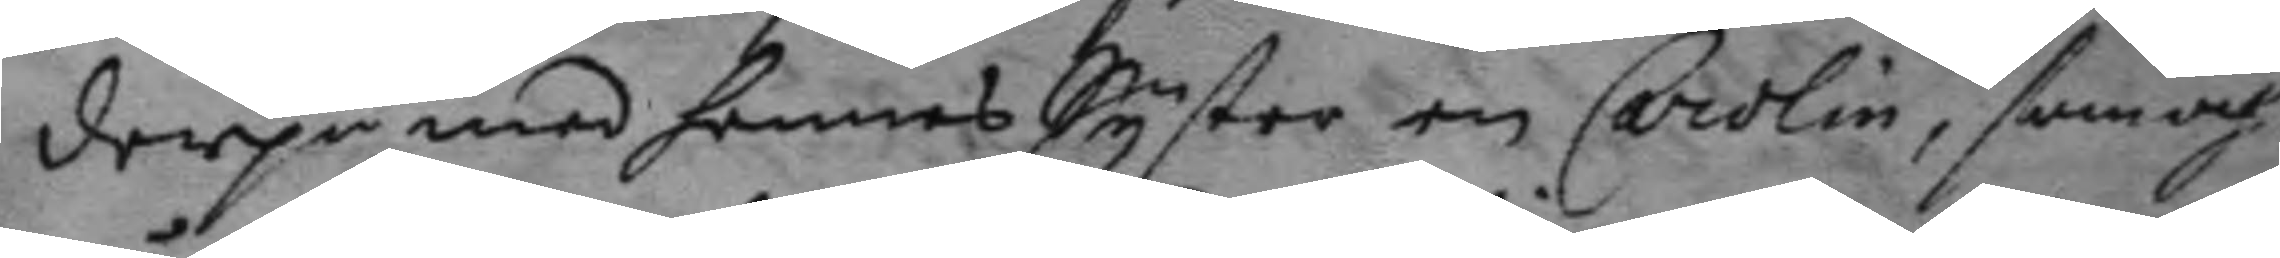derpå med hennes Syster en Carolin, somoch
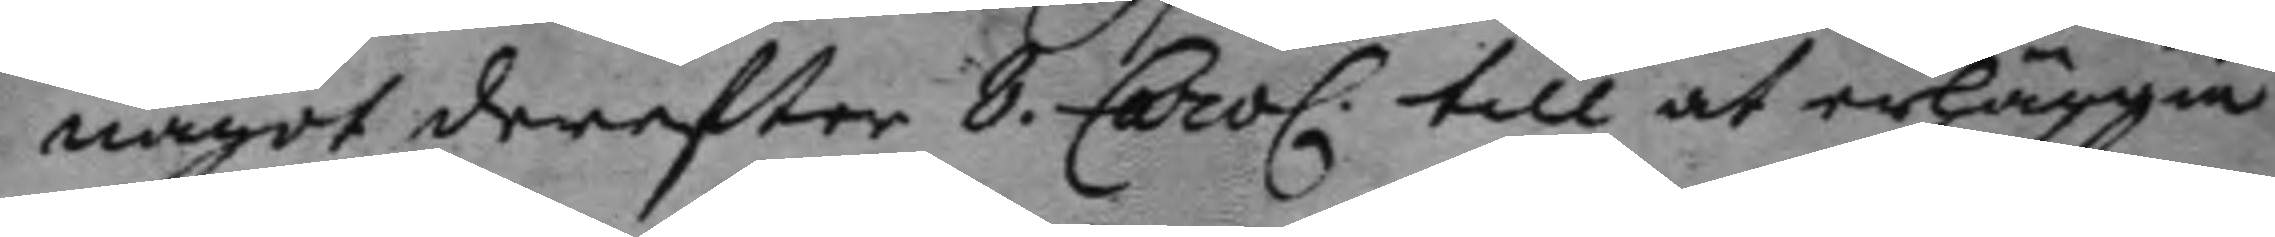något derefter 8. Carol. till at erläggia
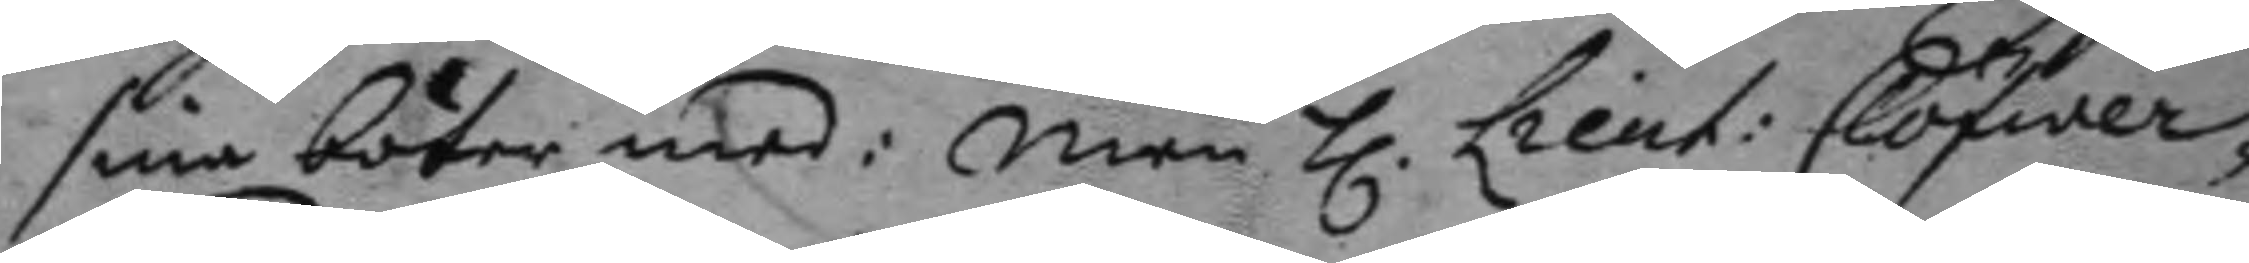sina böter med: men h. Lieut: Clöfwer¬
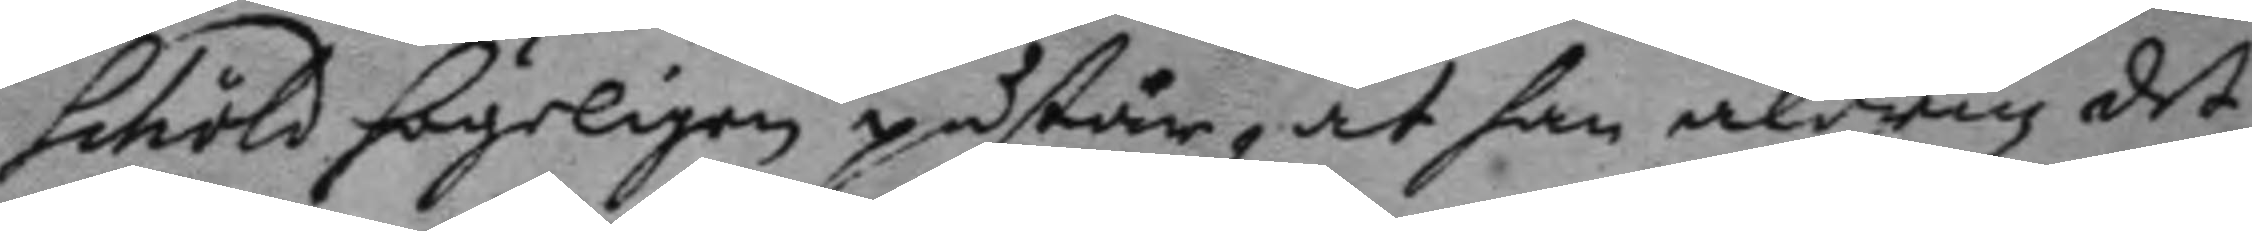schöld högeligen påstår, at han aldrig det¬
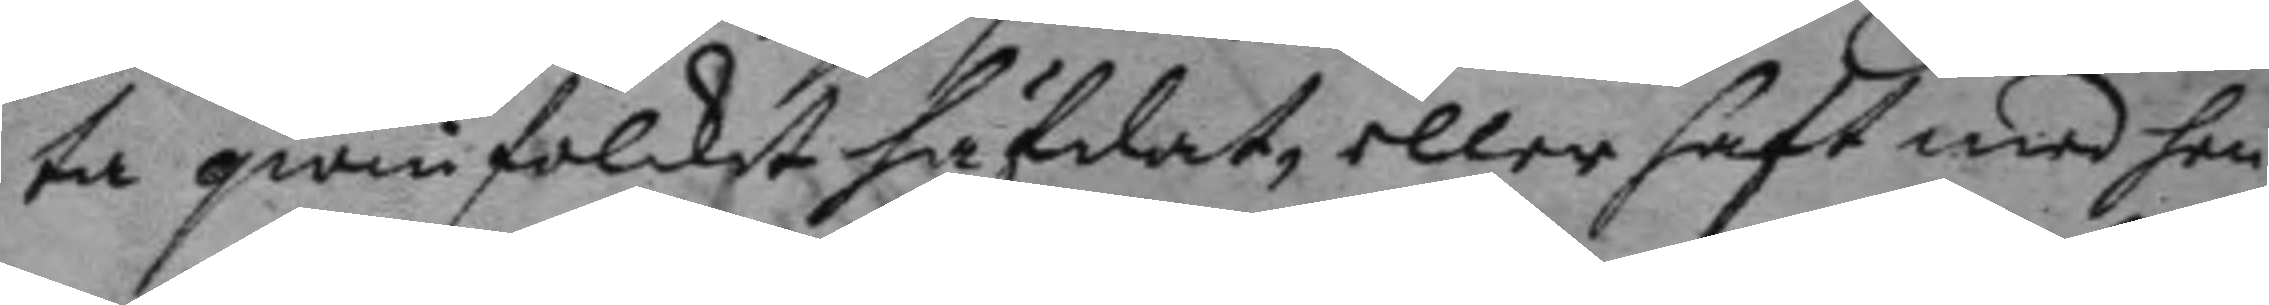ta qwinfolcket häfdat, eller haft med hen¬
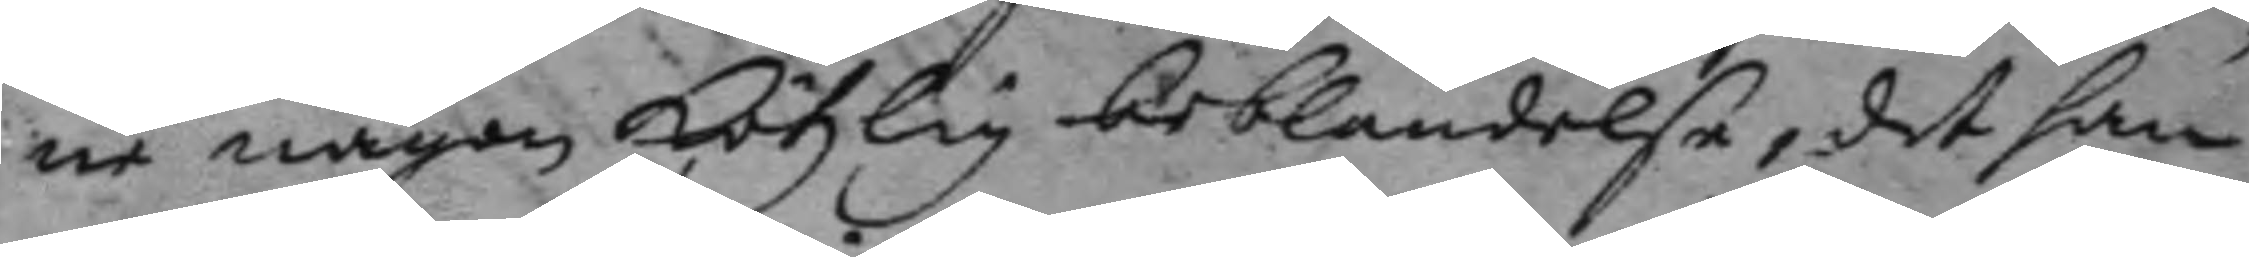ne någon kötxlig beblandelse, det han
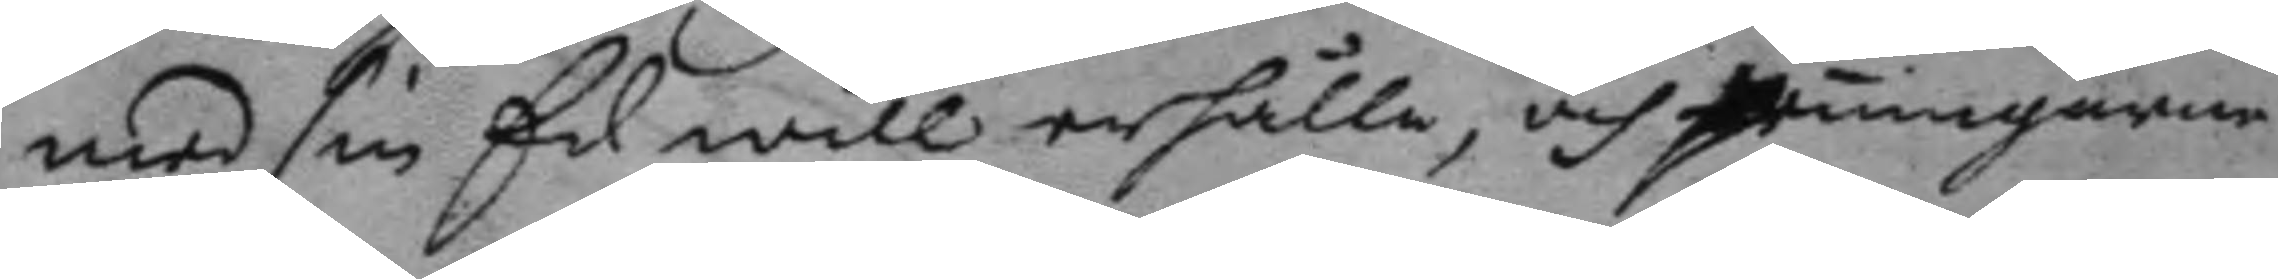med sin Eed will erhålla, och peningarne
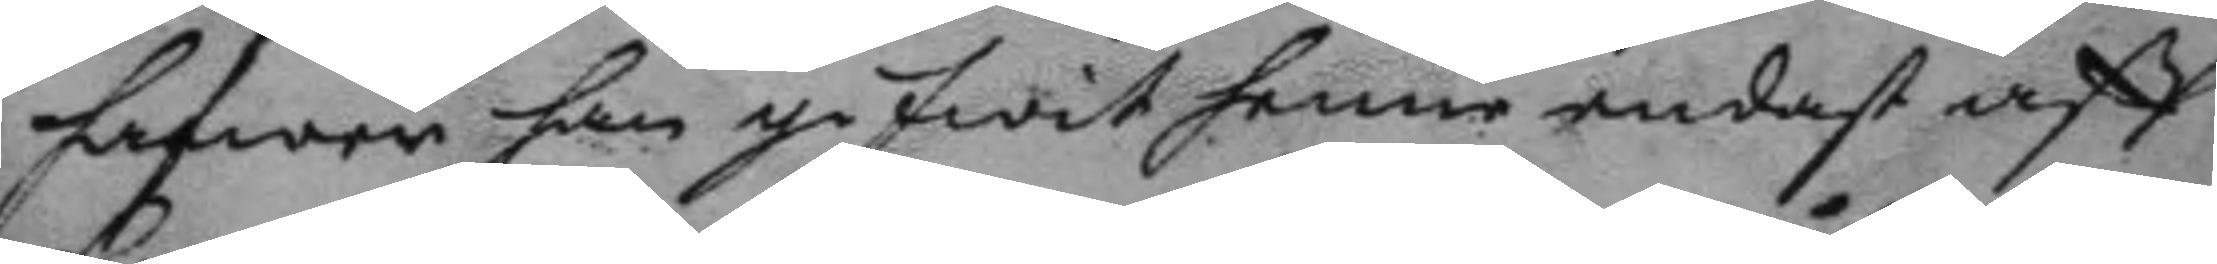hafwer han gifwit henne endast aff
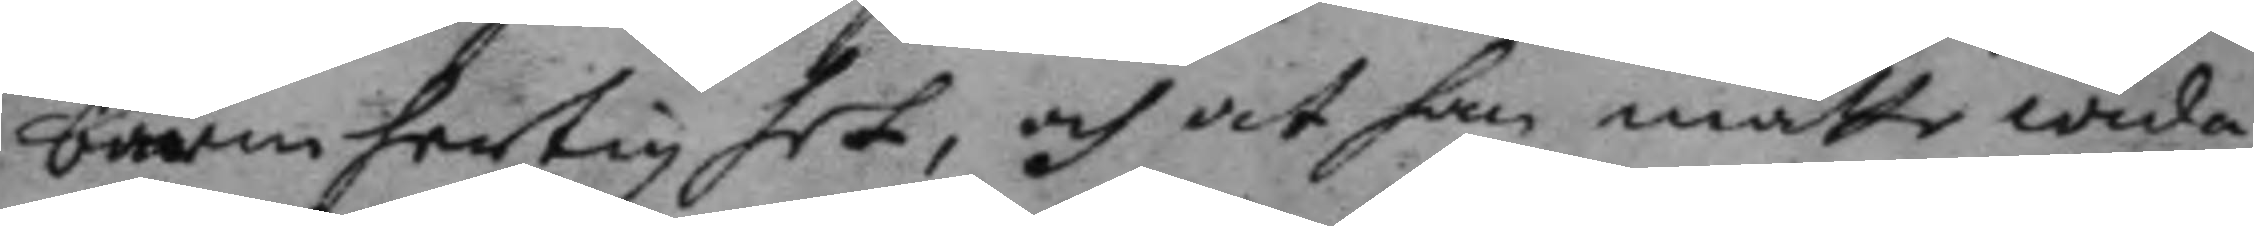barmhertighet, och at han måtte wida¬
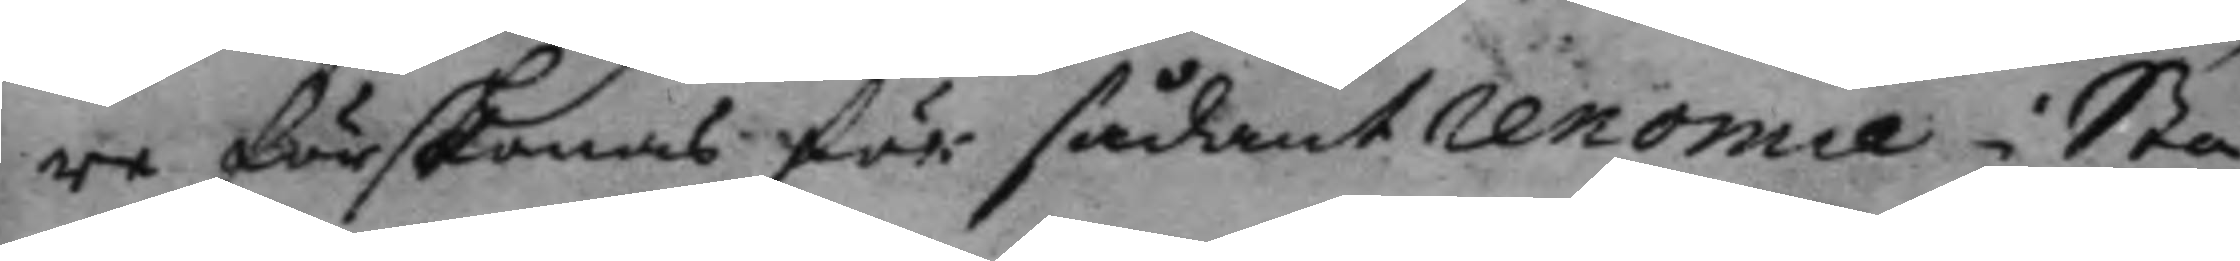re förskonas för sådant renomie i Sta¬
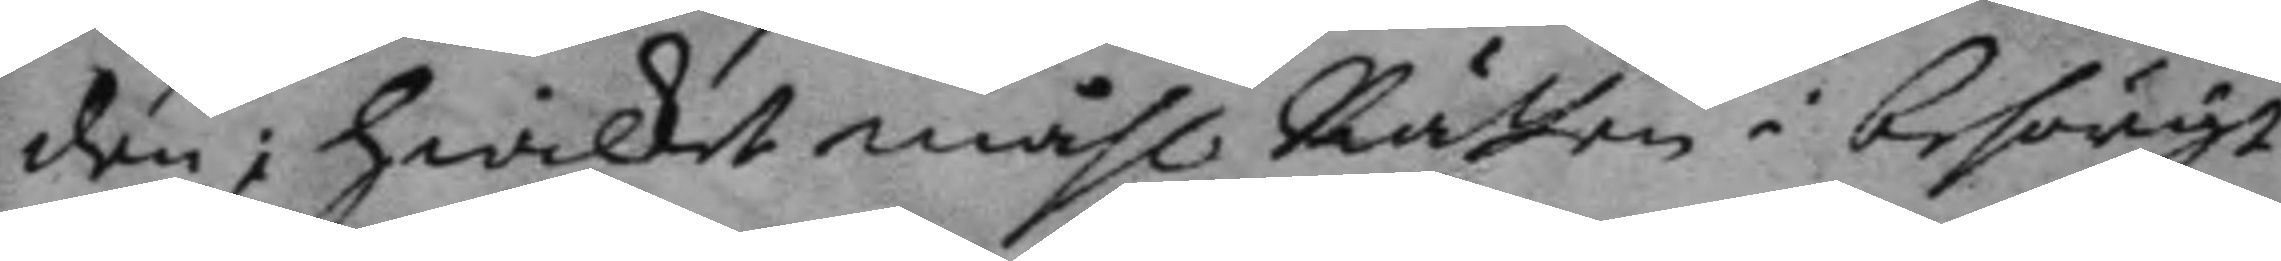den: hwilket måhl Rtten i behörigt
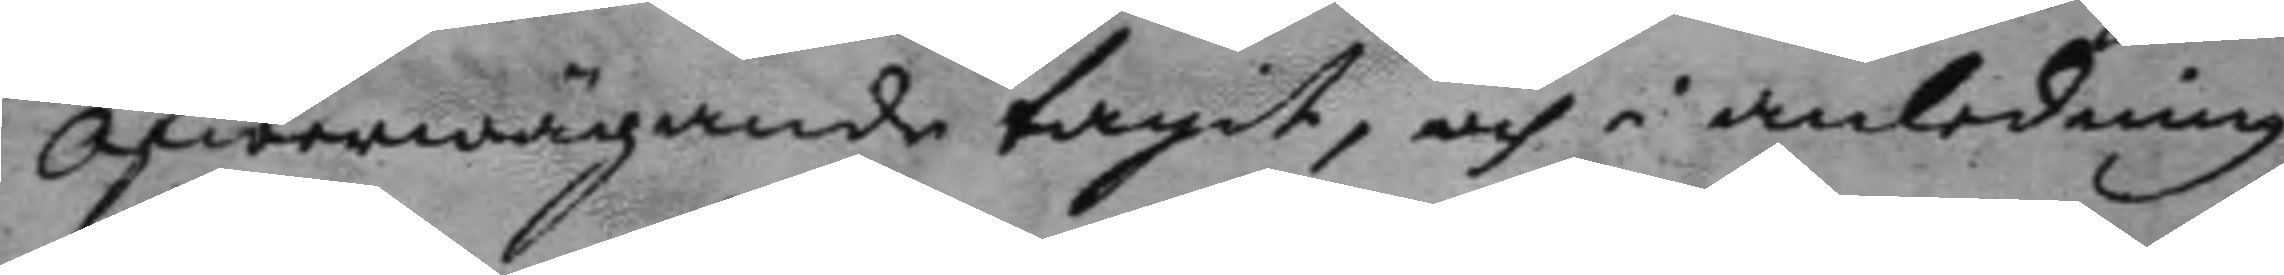Öfwerwägande tagit, och i anledning
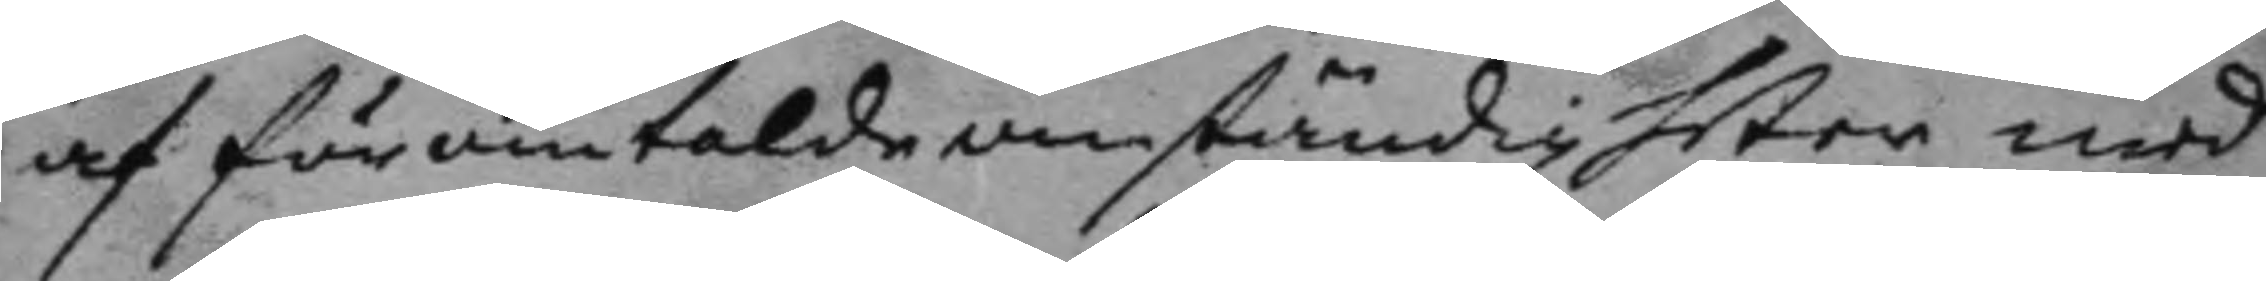af föromtalde omständigheter med
